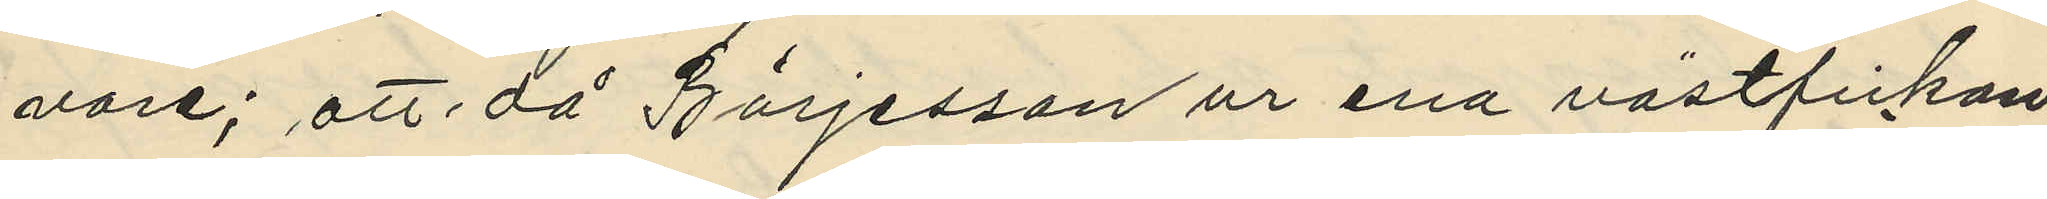vore; att då Börjesson ur ena västfickan
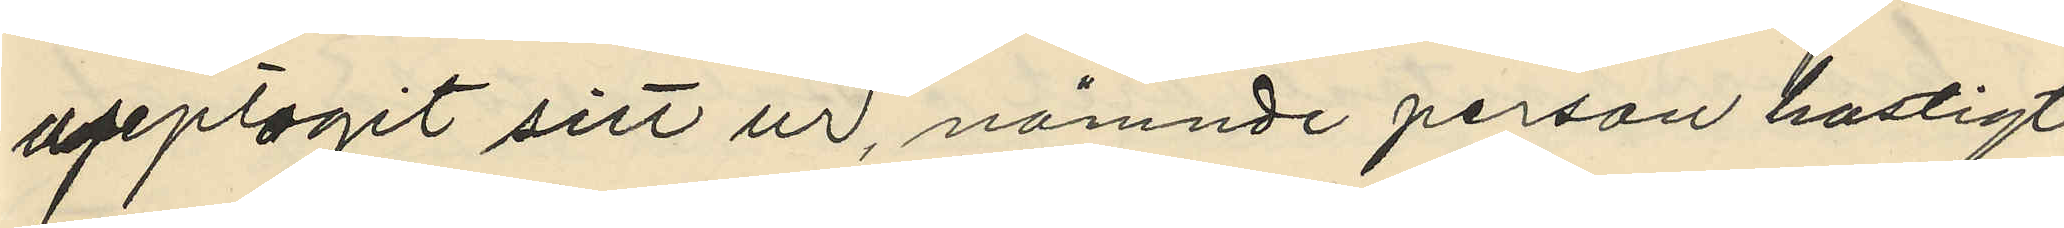upptagit sitt ur, nämnde person hastigt
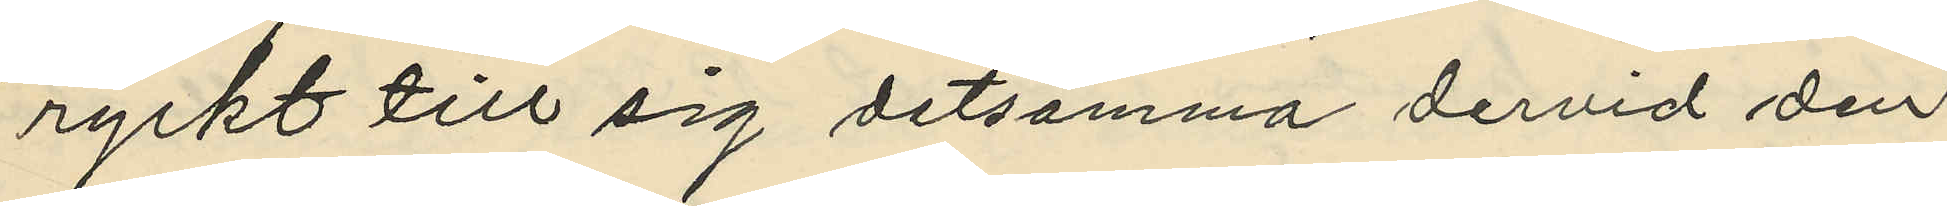ryckt till sig detsamma dervid den
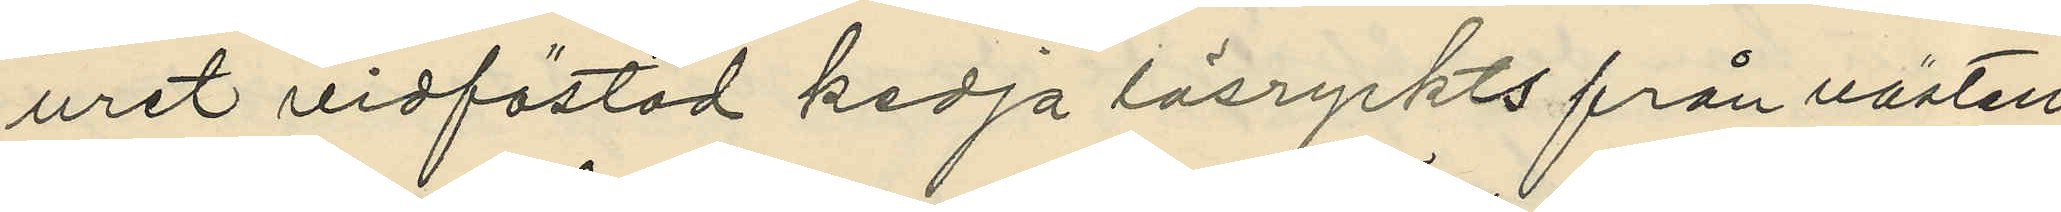uret vidfästad kedja lösryckts från västen
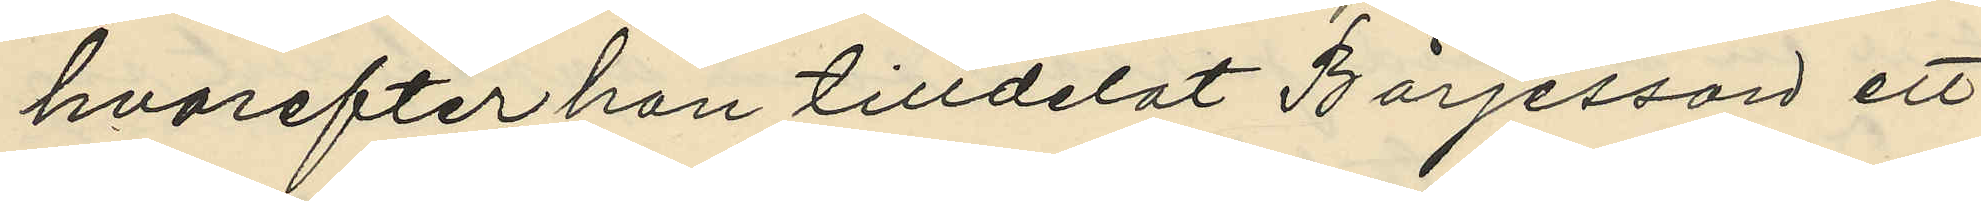hvarefter han tilldelat Börjesson ett
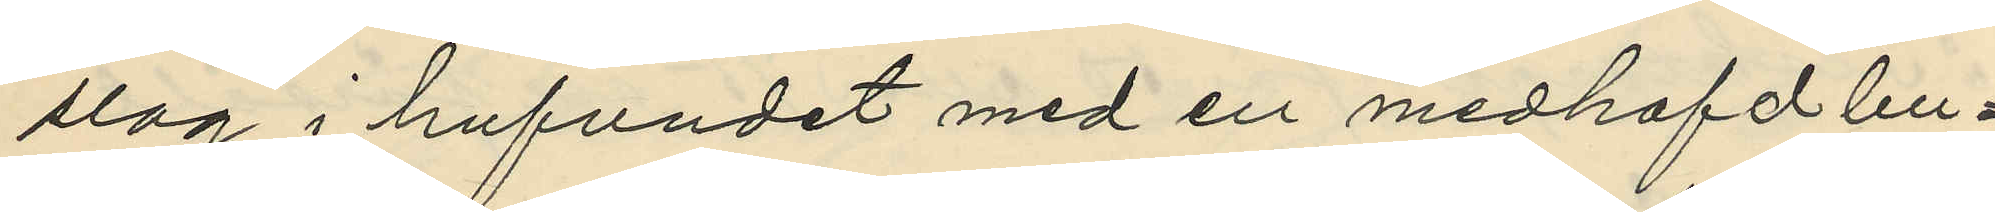slag i hufvudet med en medhafd bu¬
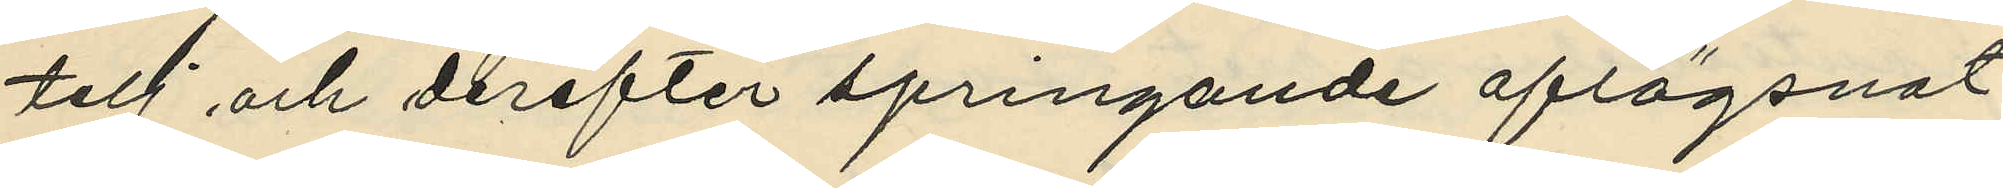telj och derefter springande aflägsnat
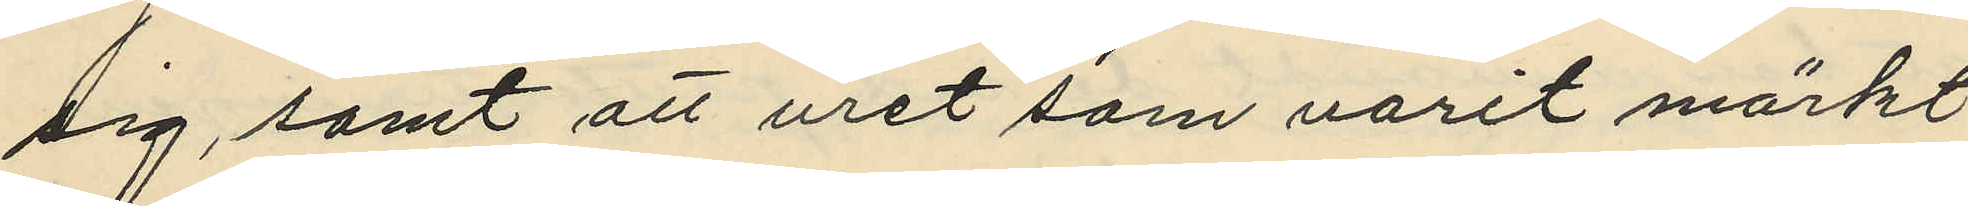sig, samt att uret som varit märkt
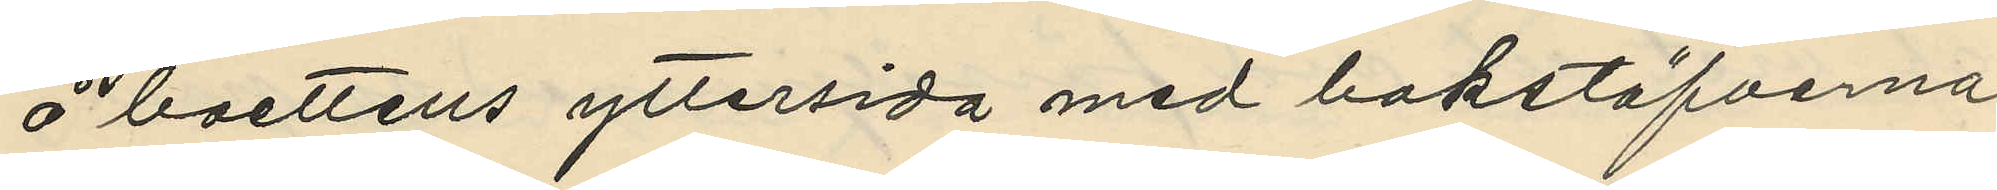å boettens yttersida med bokstäfverna
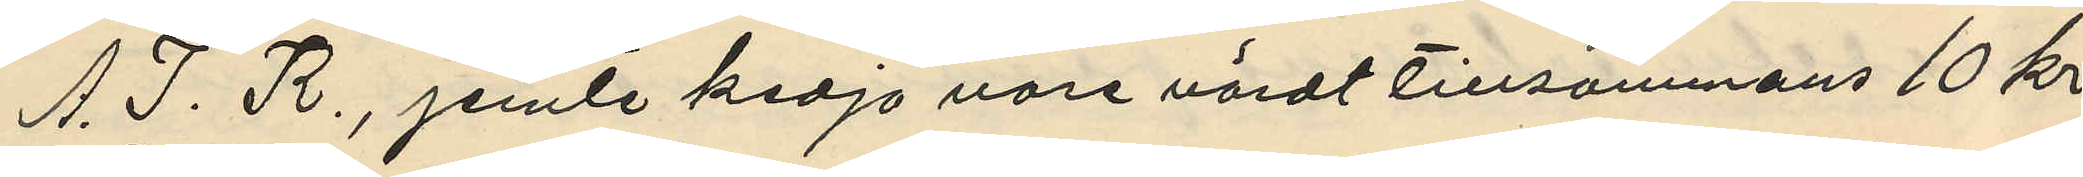A. I. R., jemte kedja vore värdt tillsammans 10 kr.
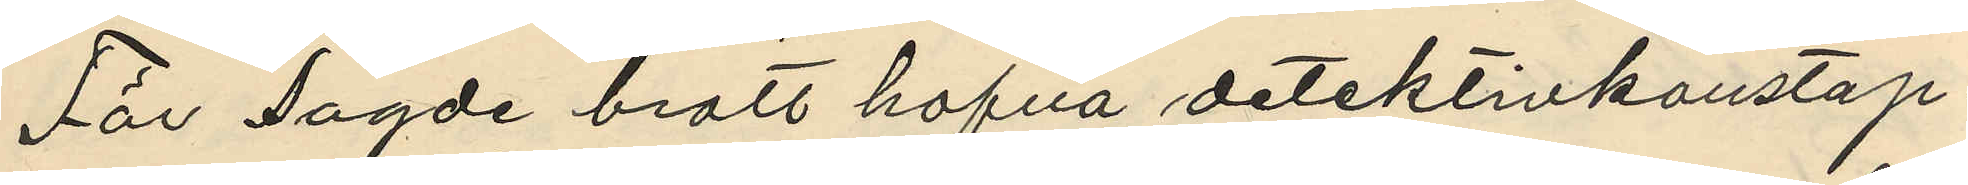För sagde brott hafva detektivkonstap¬
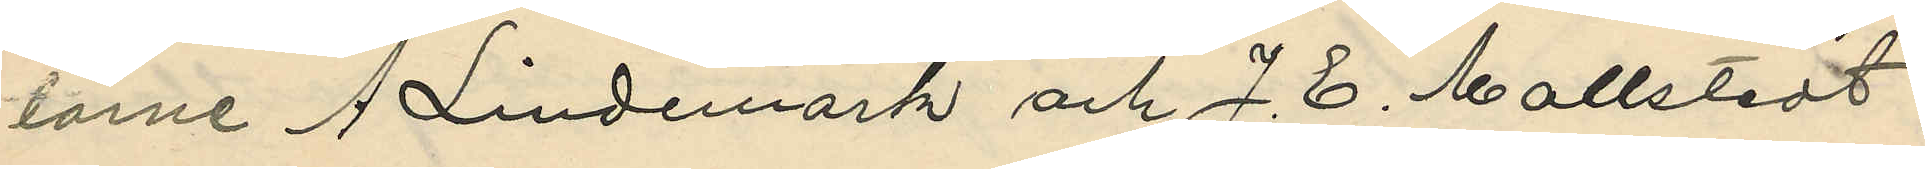larne A. Lindemark och J. E. Mollstedt i
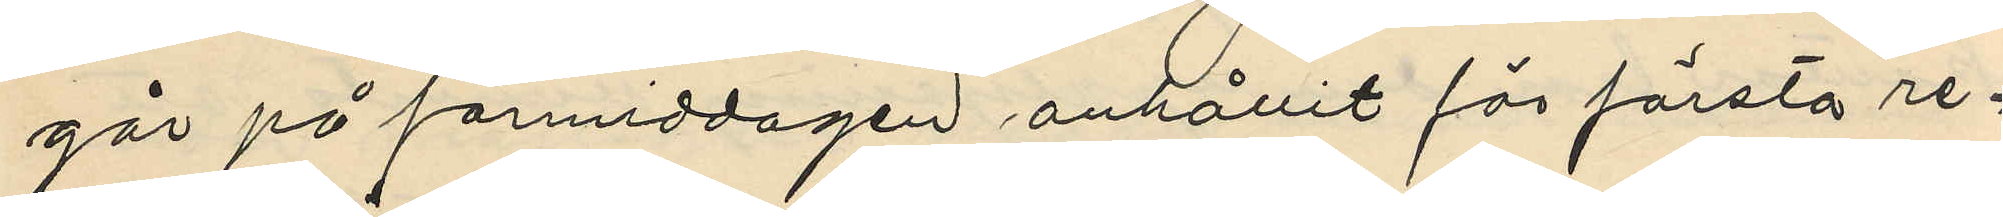går på förmiddagen anhållit för första re¬
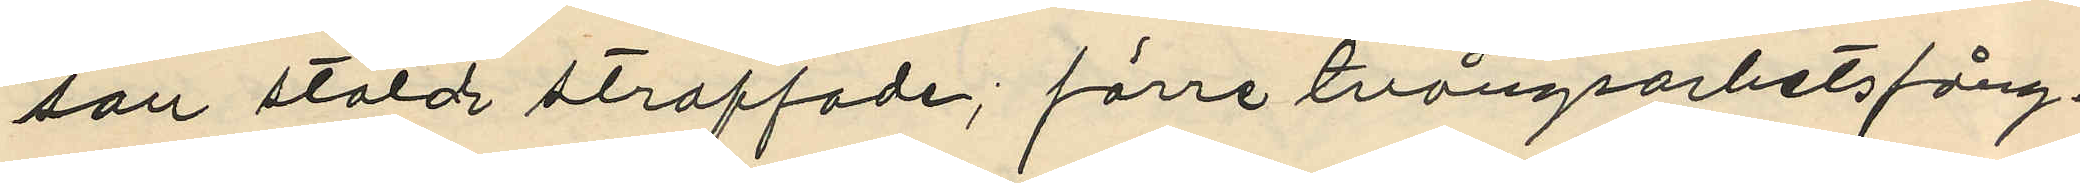san stöld straffade; förre tvångsarbetsfång¬
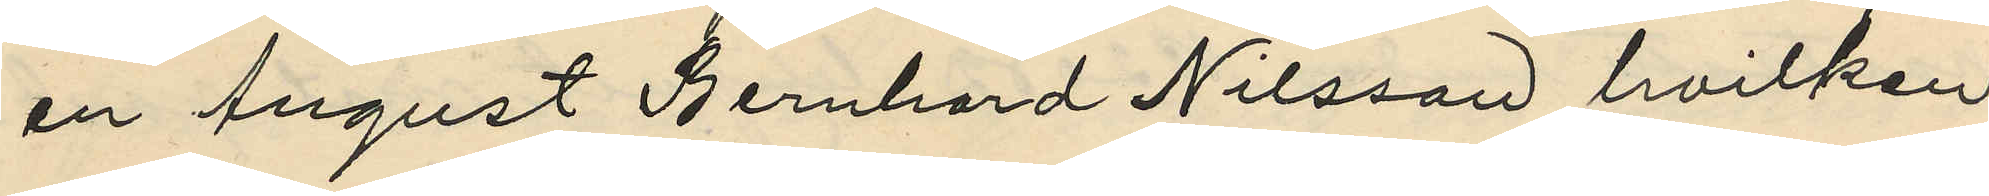en August Bernhard Nilsson hvilken
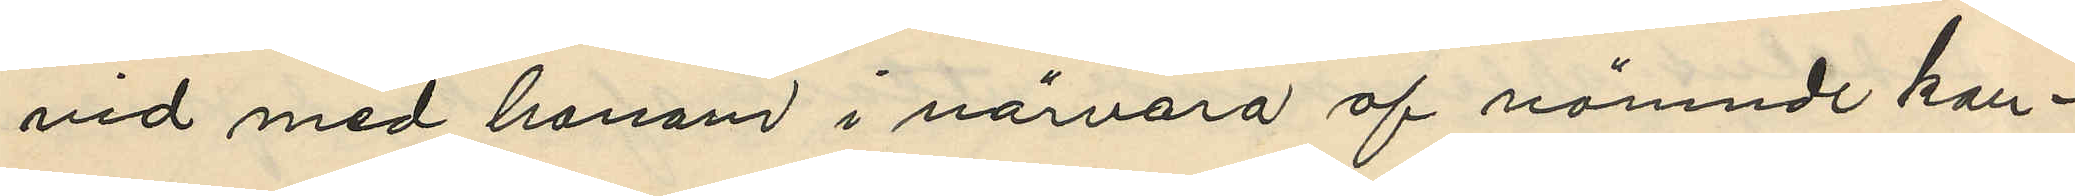vid med honom i närvaro af nämnde kon¬
